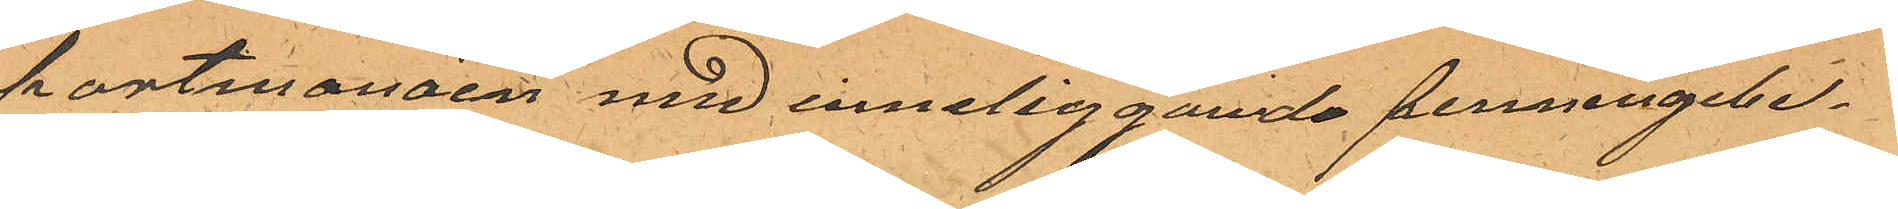portmonäen med inneliggande penningebe¬
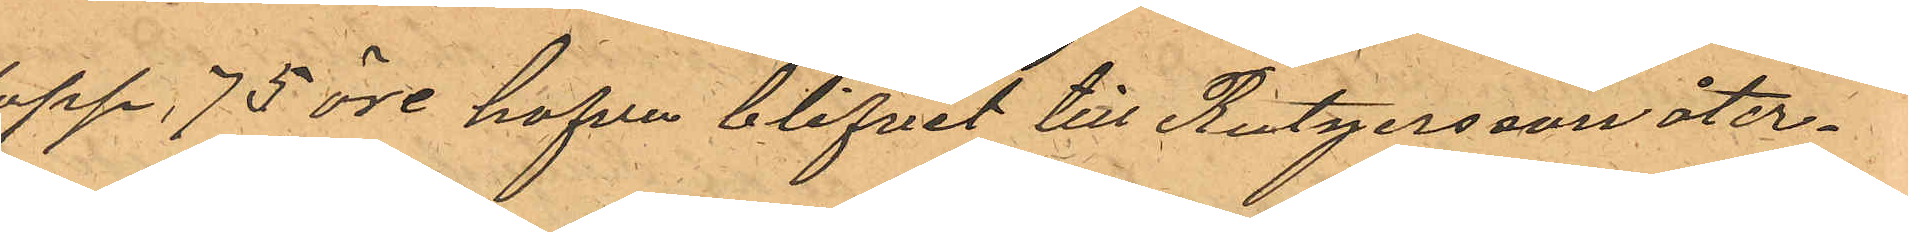lopp, 75 öre hafva blifvit till Rutgersson åter¬
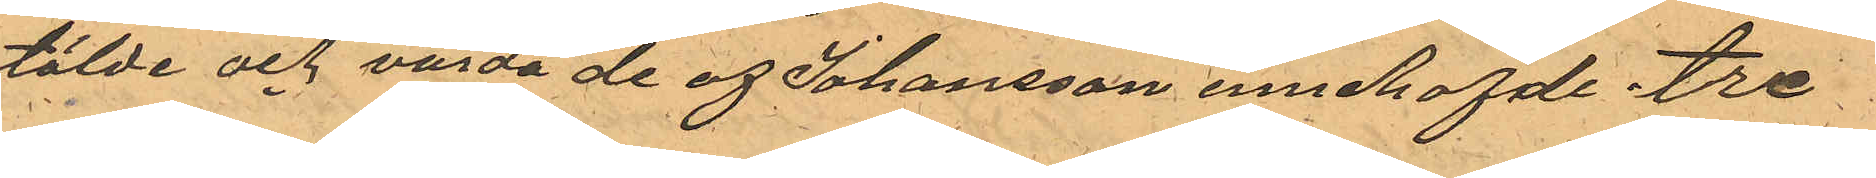stälde och varda de af Johansson innehafde tre
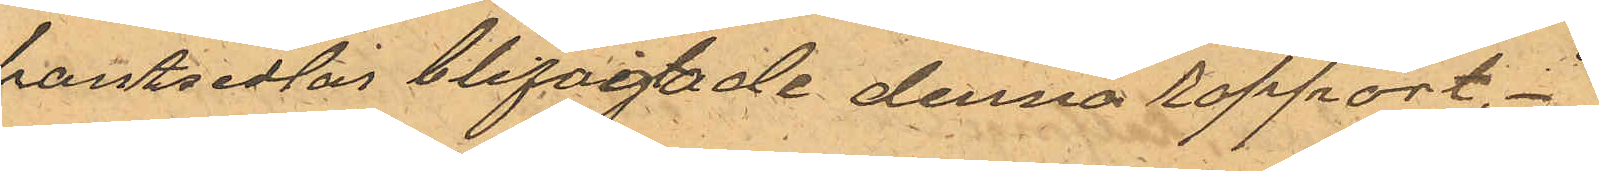pantsedlar bifogtade denna rapport.
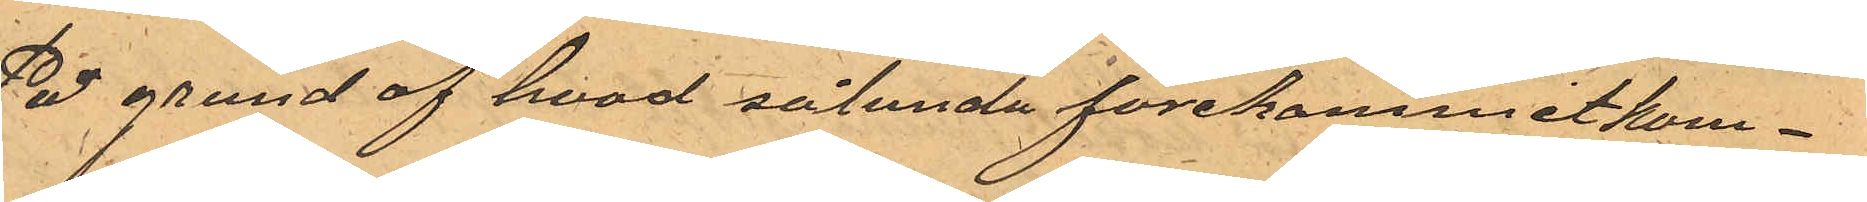På grund af hvad sålunda förekommit kom¬
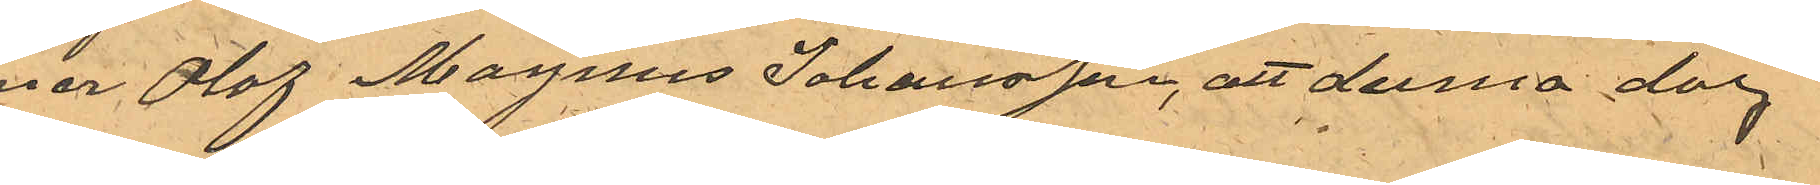mer Olof Magnus Johansson, att denna dag
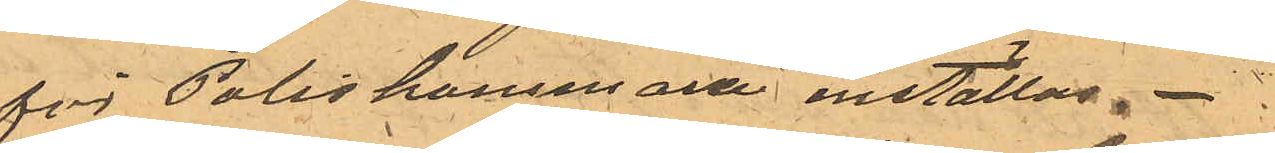för Poliskammare inställas.
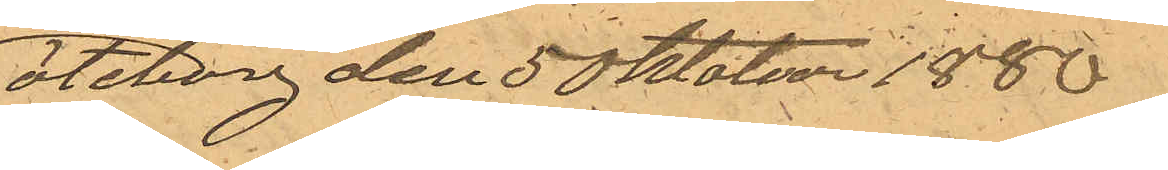Göteborg den 5 Oktober 1886.
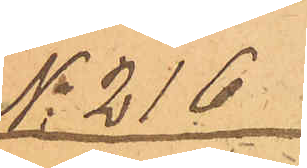No 216
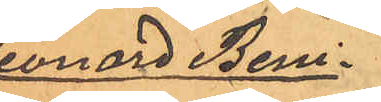Leonard Beni¬
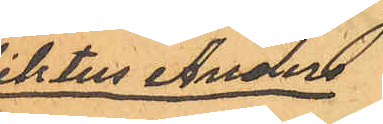diktus Anders¬
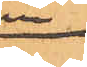son
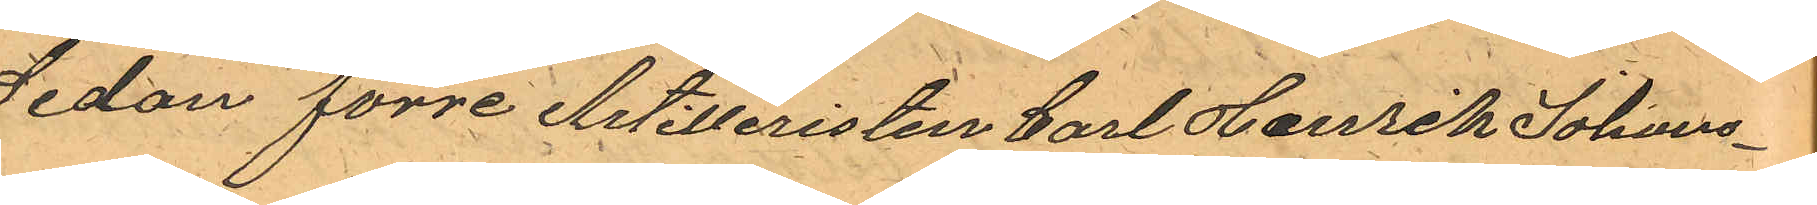Sedan förre Artilleristen Carl Henrik Johans¬
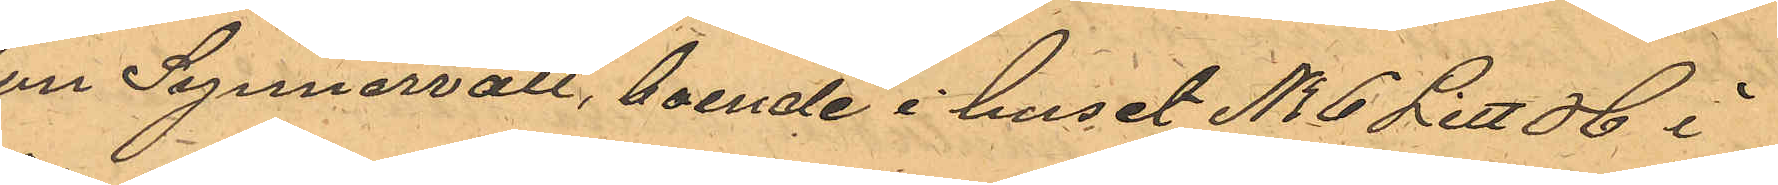son Synnervall, boende i huset No 6 Litt H i
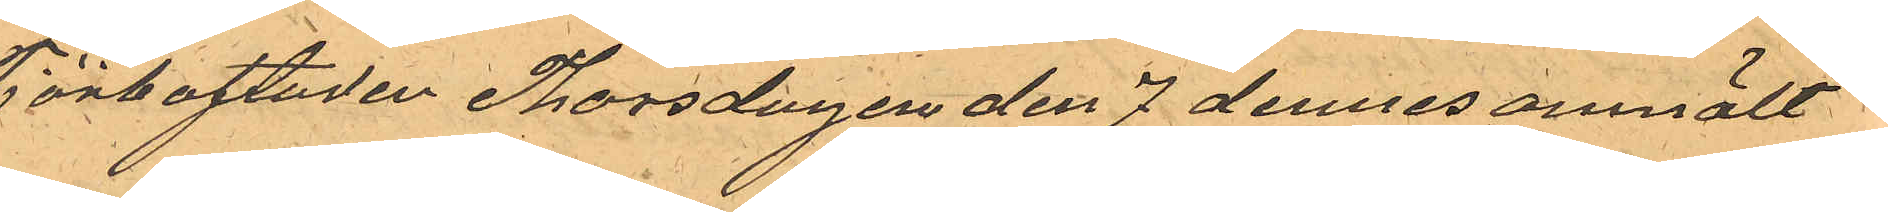Tjörbostaden Thorsdagen den 7 dennes anmält
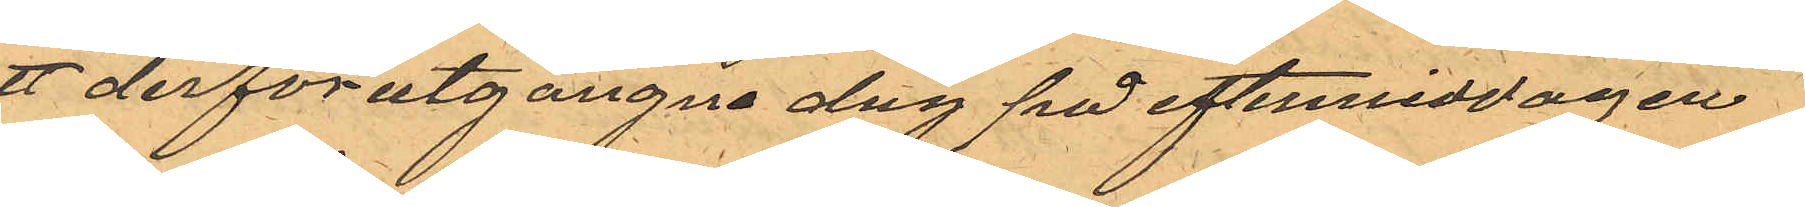att derförutgångne dag på eftermiddagen
